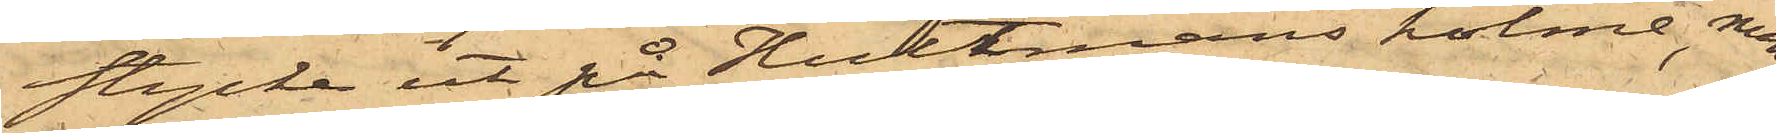stycke ut på Hultmans holme, men
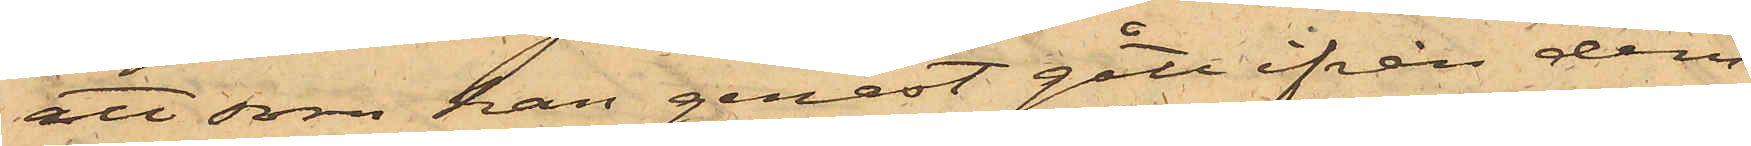att som han genast gått ifrån dem,
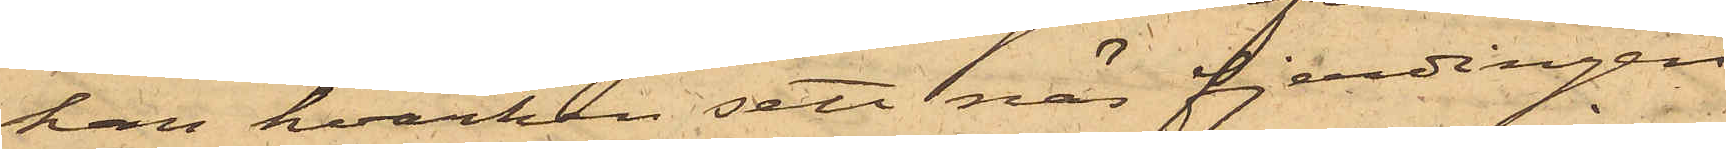han hvarken sett när fjerdingen
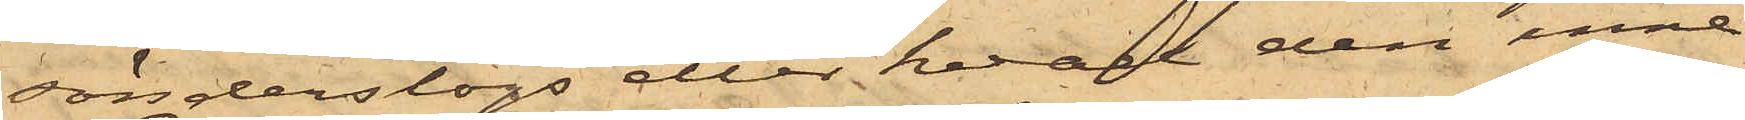sönderslogs eller hvad den inne¬
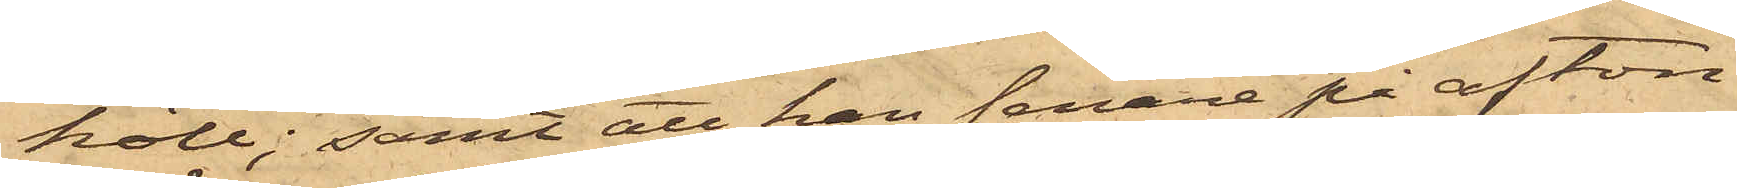höll; samt att han senare på afton
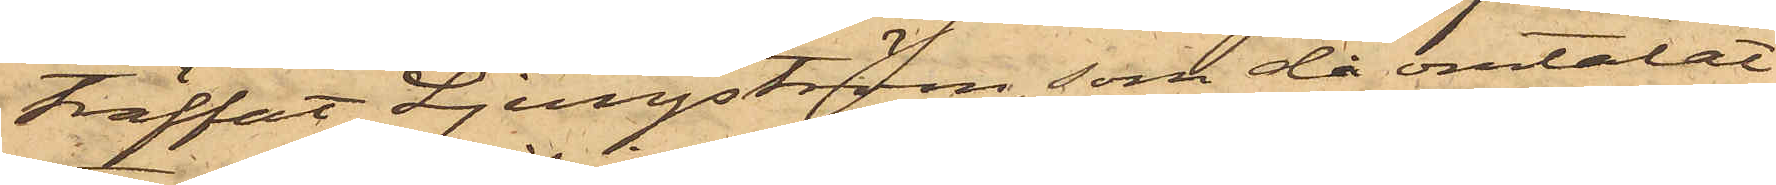träffat Ljungström, som då omtalat
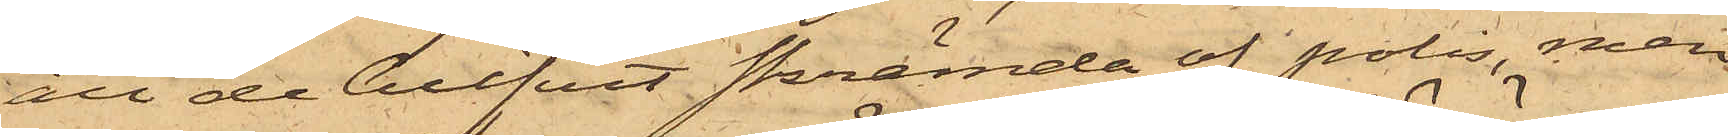att de blifvit skrämda af polis, men
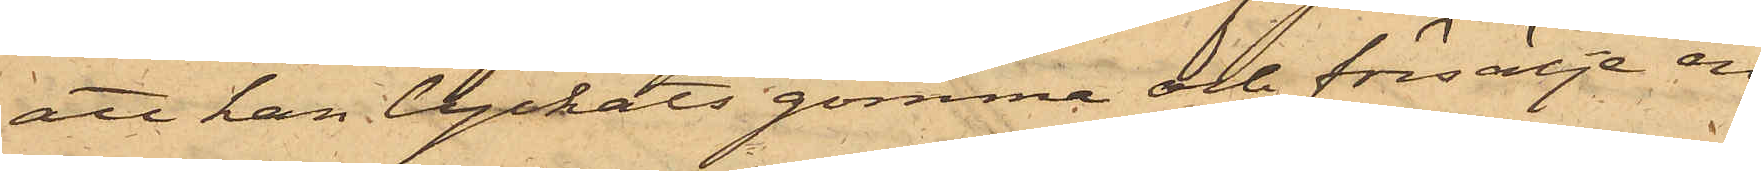att han lyckats gömma och försälja en
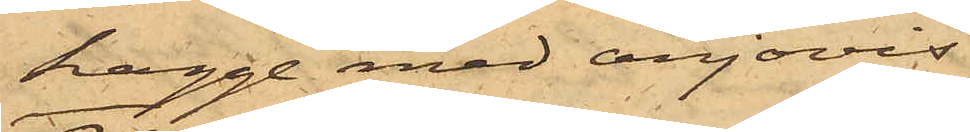kagge med anjovis;
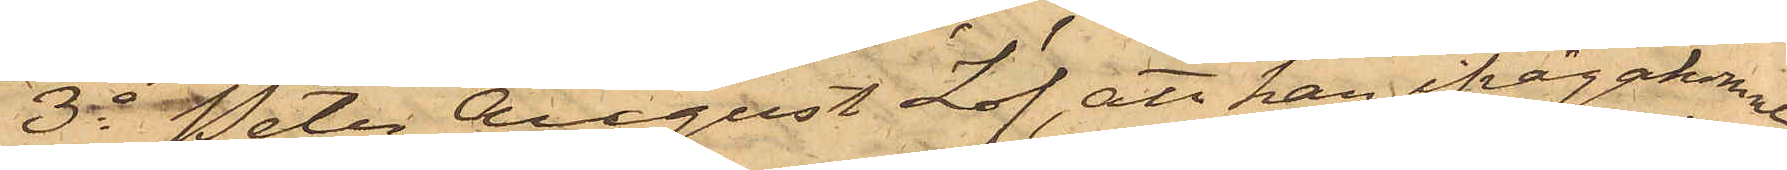3o Peter August Löf, att han ifrågakomne
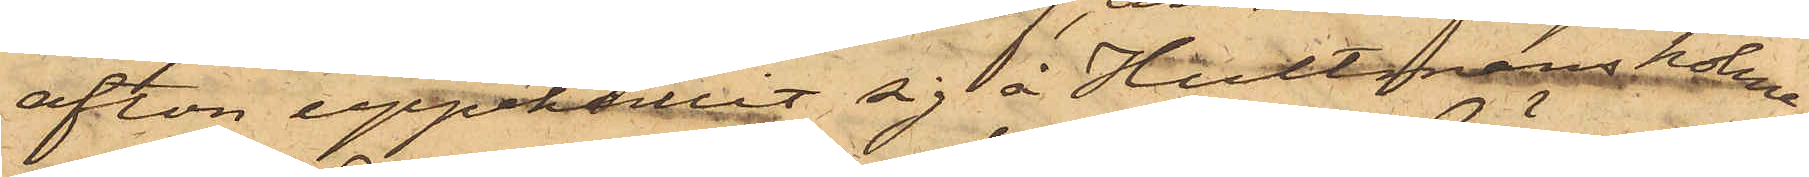afton uppehållit sig å Hultmans holme;
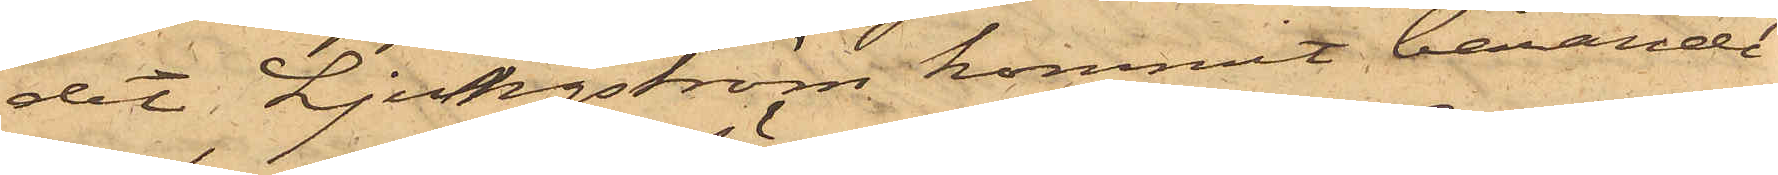dit Ljungström kommit bärande
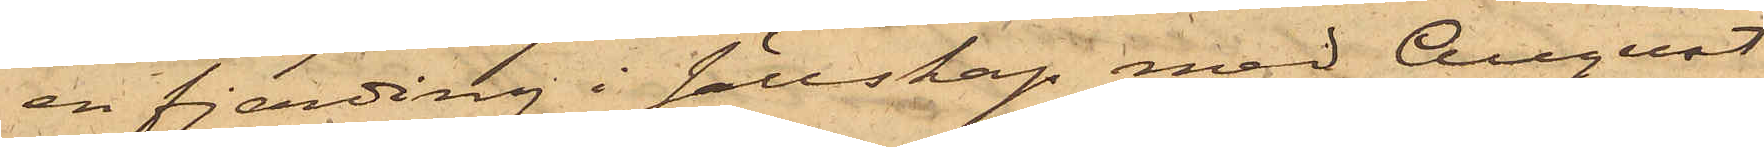en fjerding i sällskap med August
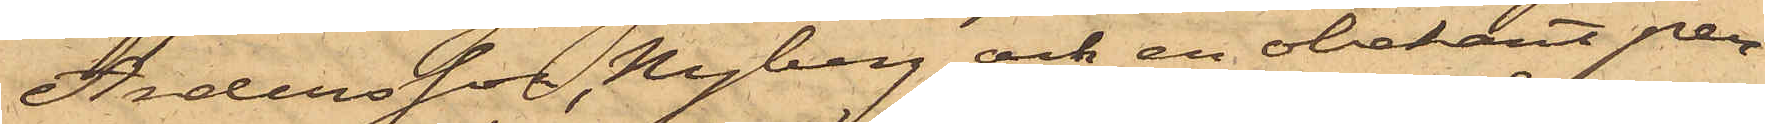Andersson, Nyberg och en obekant per¬
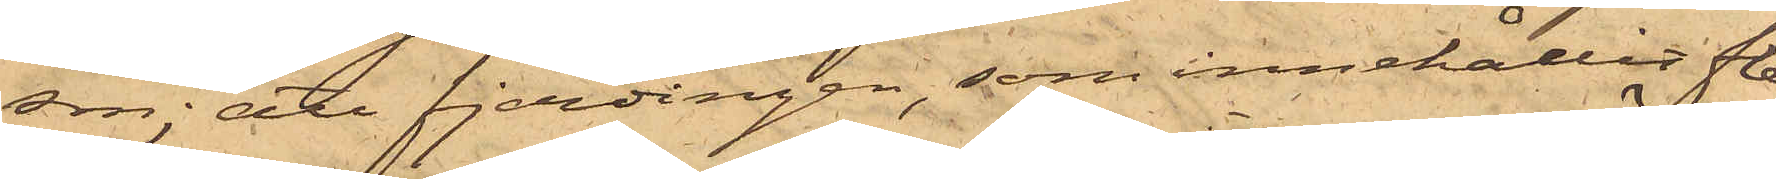son; att fjerdingen, som innehållit fle¬
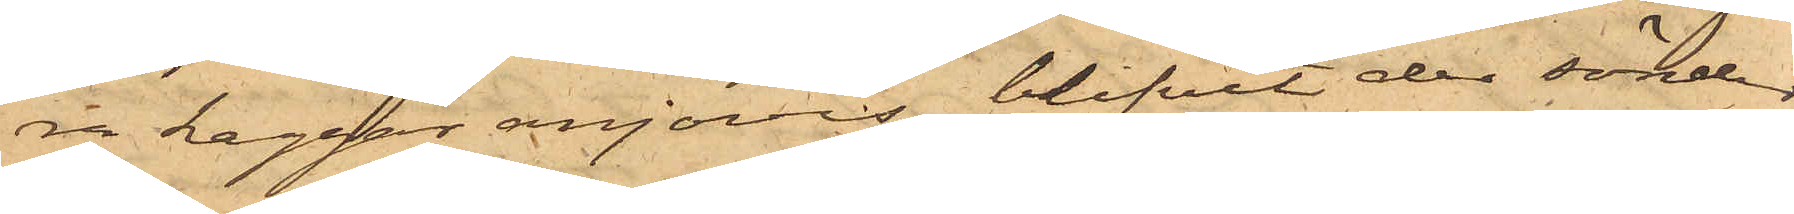ra kaggar anjovis, blifvit der sönder¬
